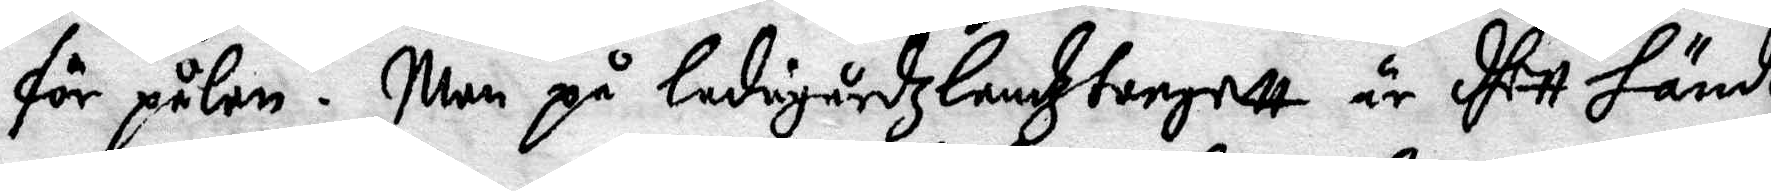för pålen. Men på Ladugårdzlandztorgett är dhett händt
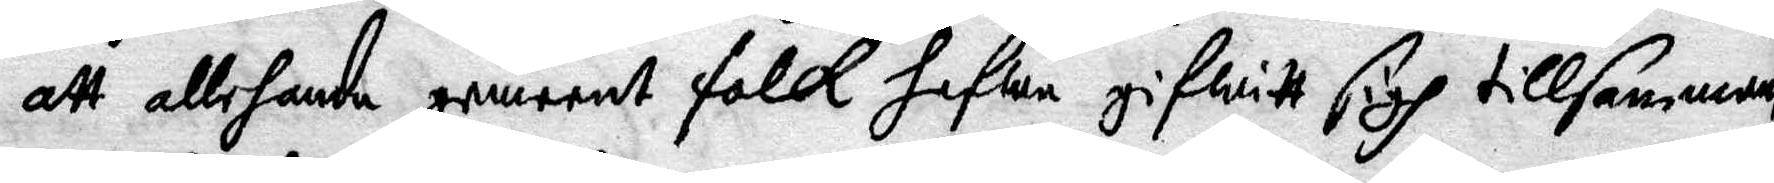att allehanda gemnet folk hafwa gifwitt sigh tillsammans
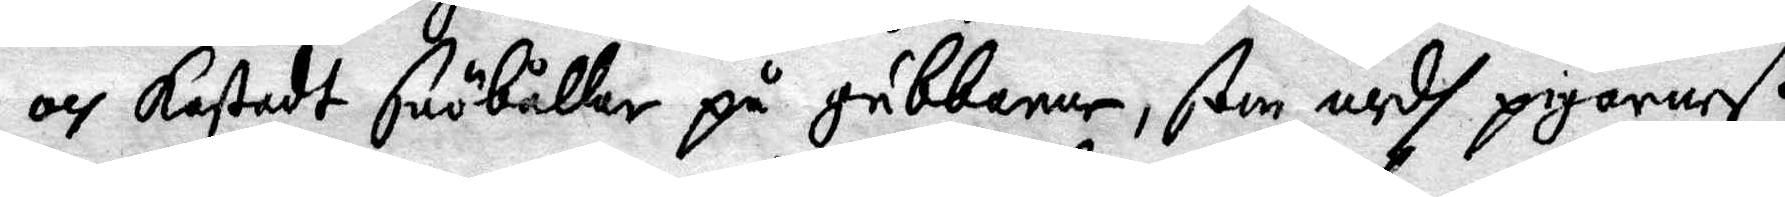och kastadt snöbållar på gubbarne, som medh pigornaß
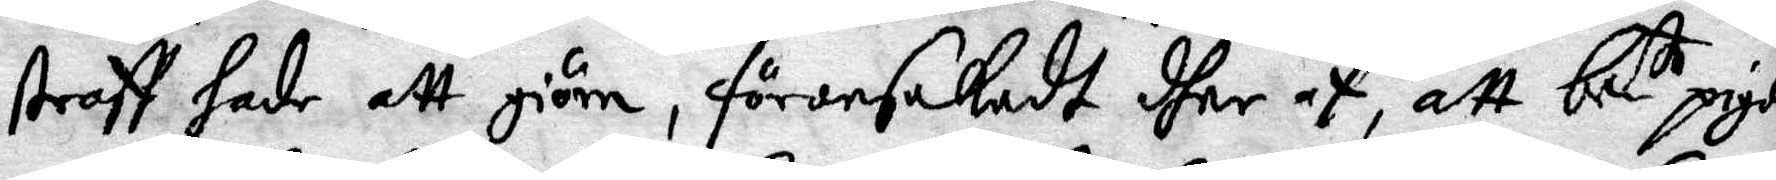straff hade att giöra, förorsakadt dher af, att be te pigor
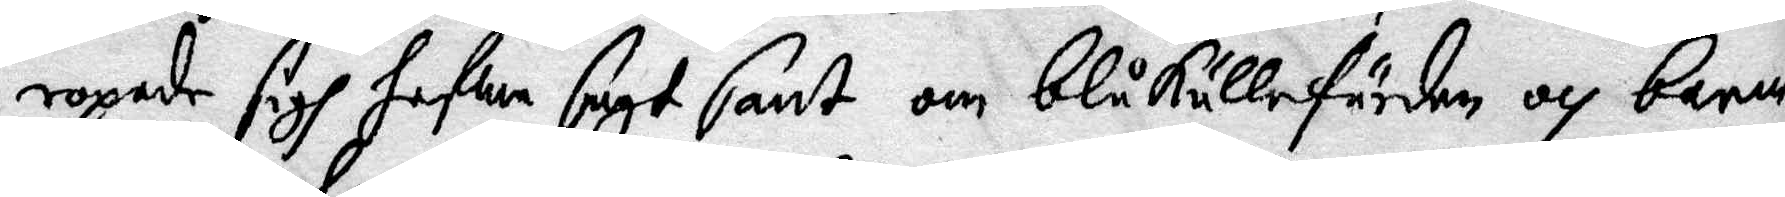ropade sigh hafwa sagt sant om blåkullafärden och barna¬
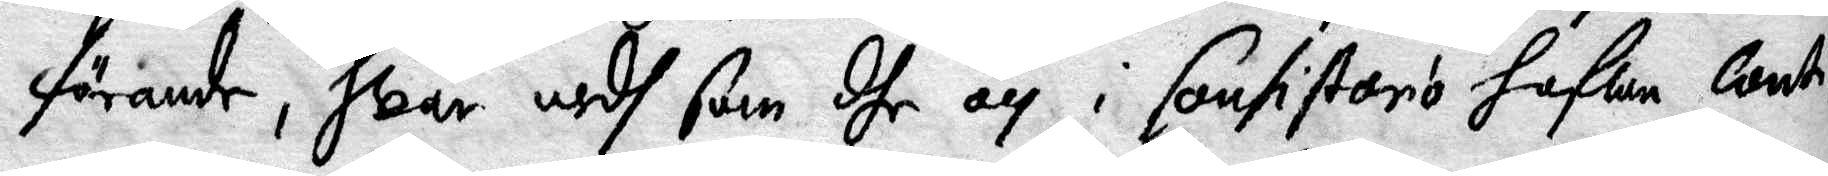förande, hwar medh som dhe och i fantisarion hafwa Conti¬
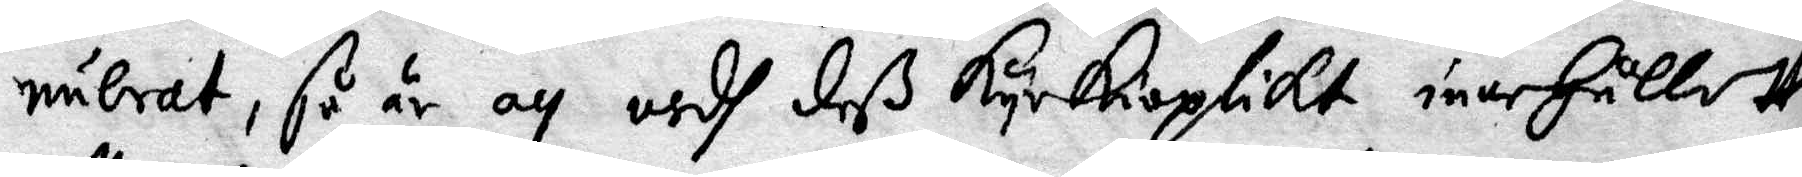nuerat, så är och medh deß Kyrkioplikt innehållet
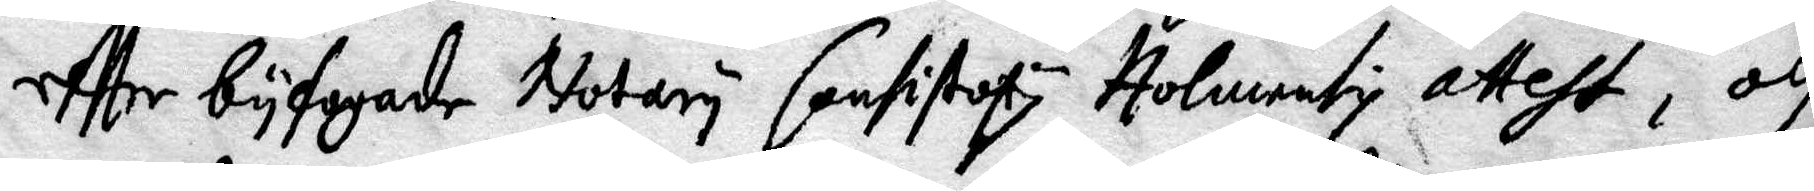effter byfogade Notary Consistiry Holmensy attest, och
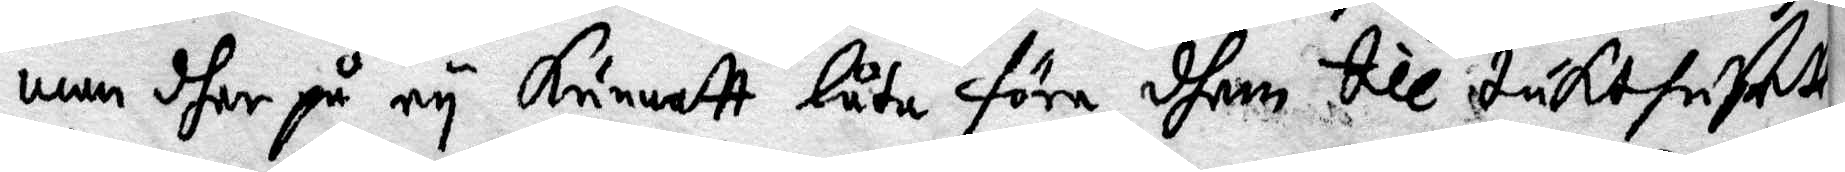men dher på ey Kunnatt låta föra dhem till tukthusett
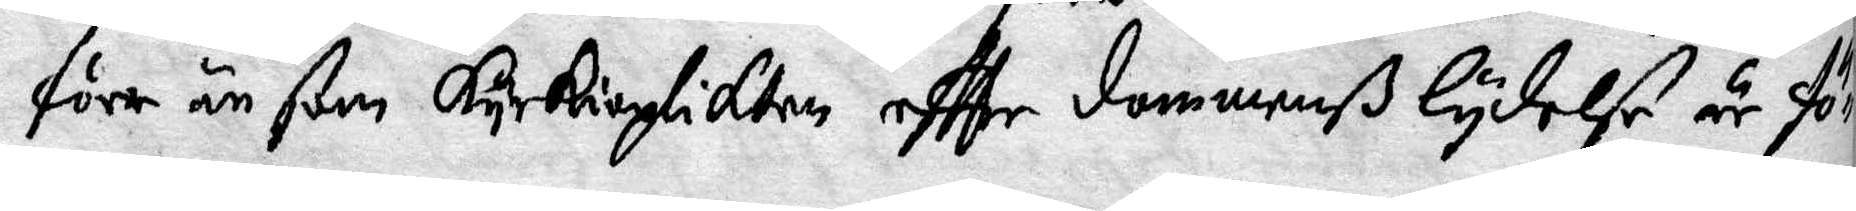förr än som Kyrkioplikten effter dommenß lydelse är för¬
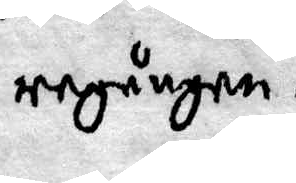regången.
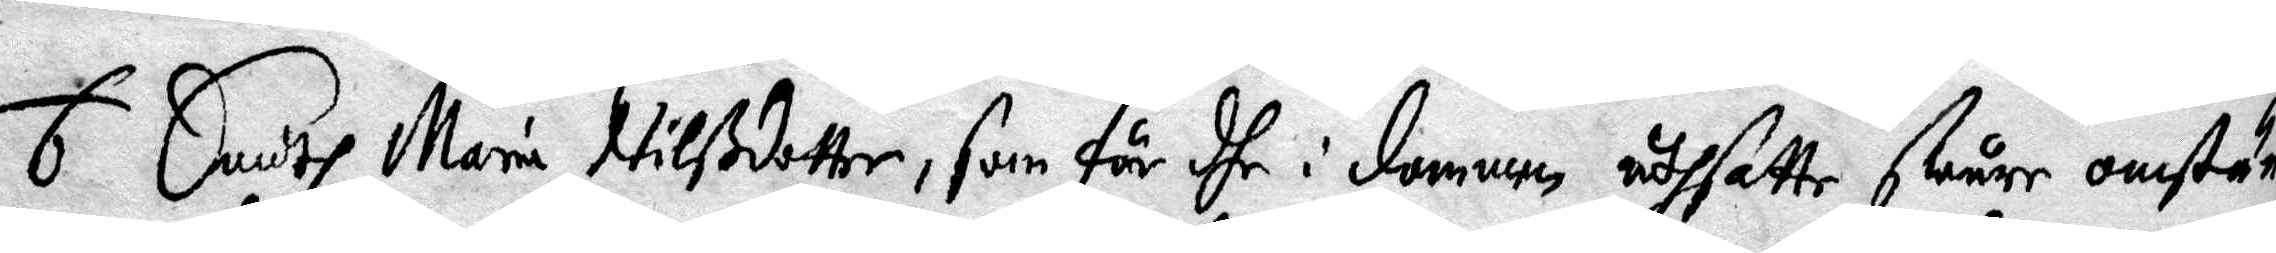6 Emodh Maria Nilßdotter, som för dhe i dommen uthsatte swåre omstän¬
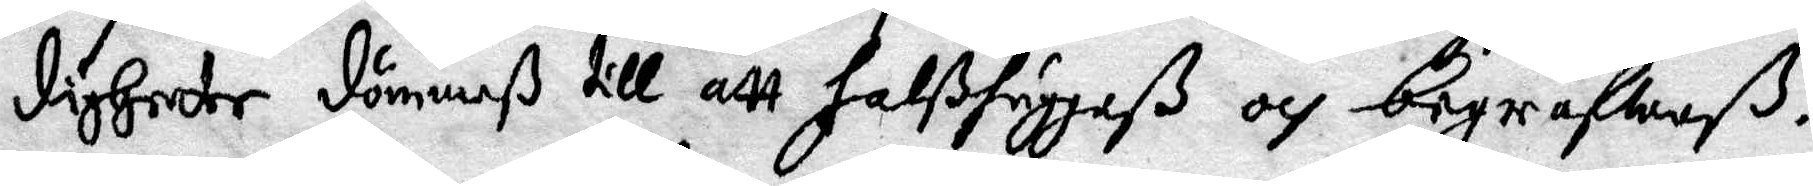digheeter dömmeß till att halßhuggaß och begrafwaß.
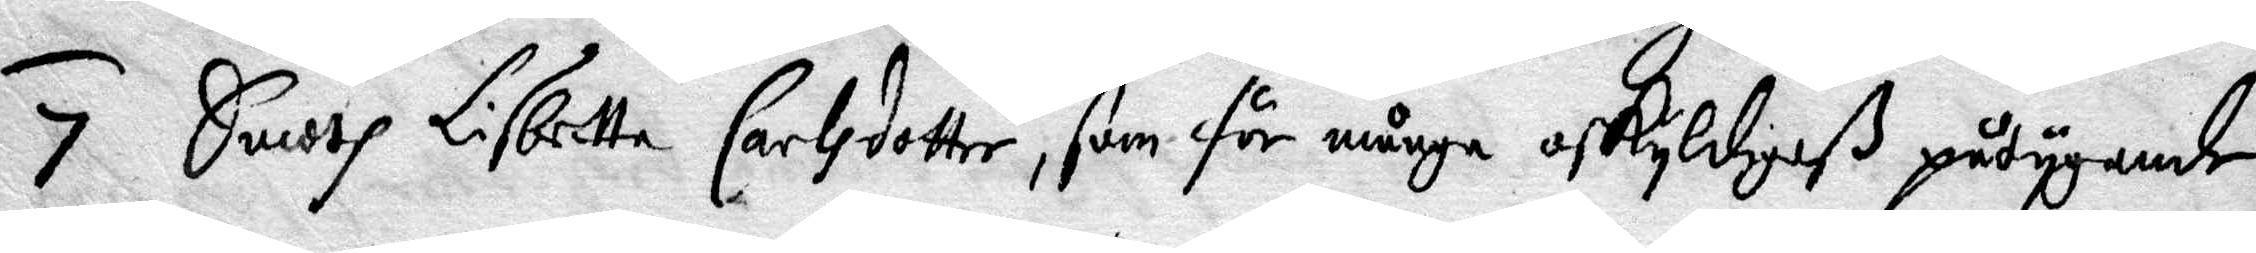7 Emodh Lisbetta Carlsdotter, som för många oskyldigaß påtygande
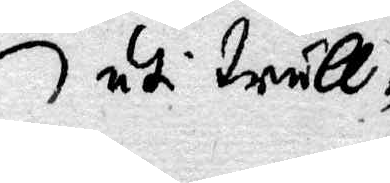uti trull¬
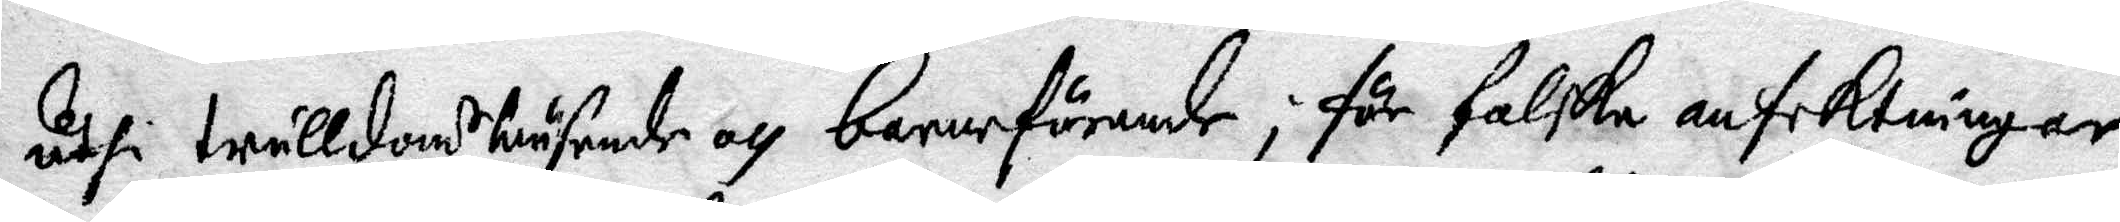uthi trulldoms wäsende och barnaförande, för falske anfektningar
